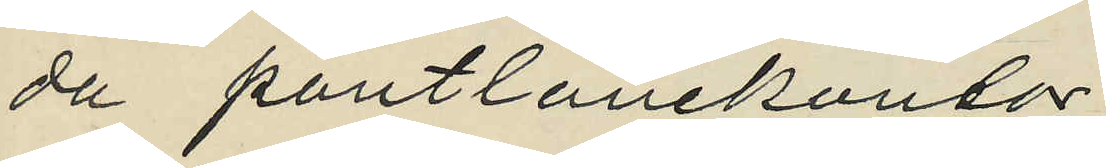da pantlånekontor;
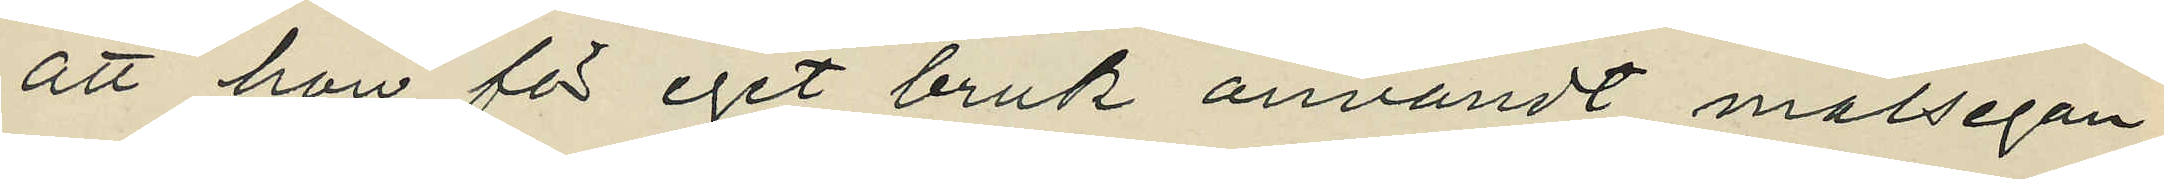att hon för eget bruk användt målsegan¬
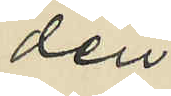den
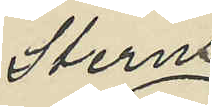Sterns
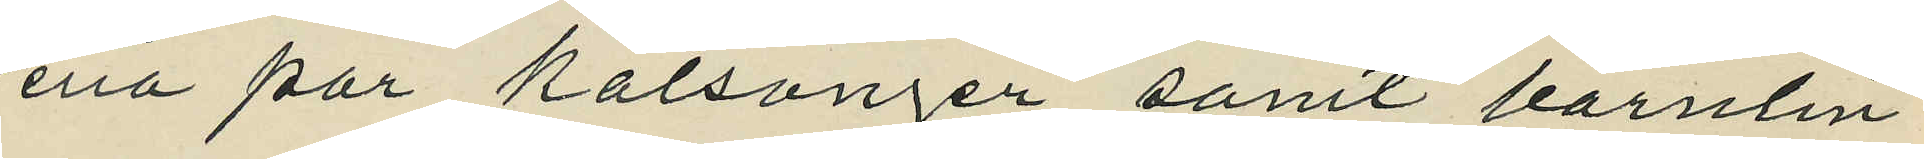ena par kalsonger samt barnlin¬
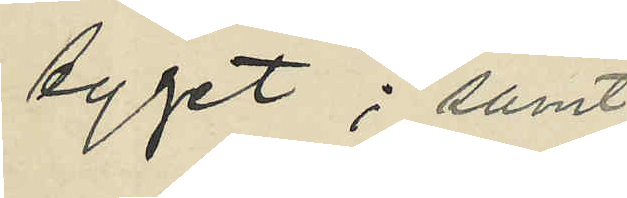tyget; samt
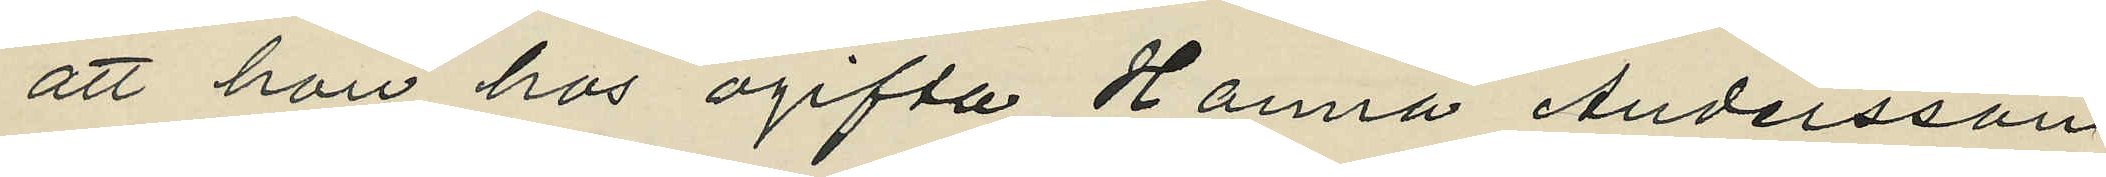att hon hos ogifta Hanna Andersson,
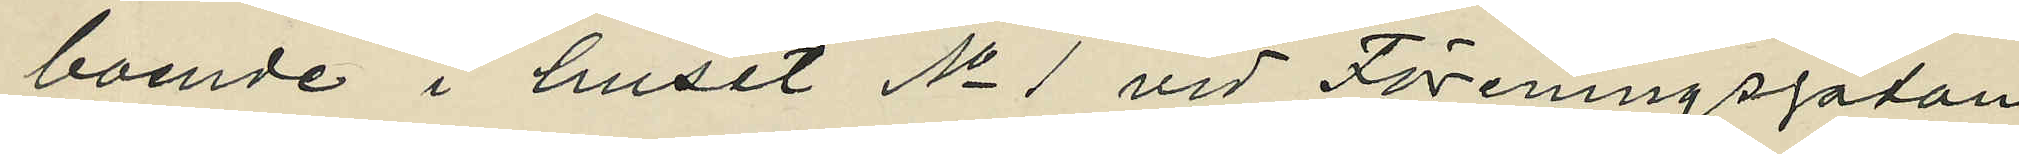boende i huset No 1 vid Föreningsgatan,
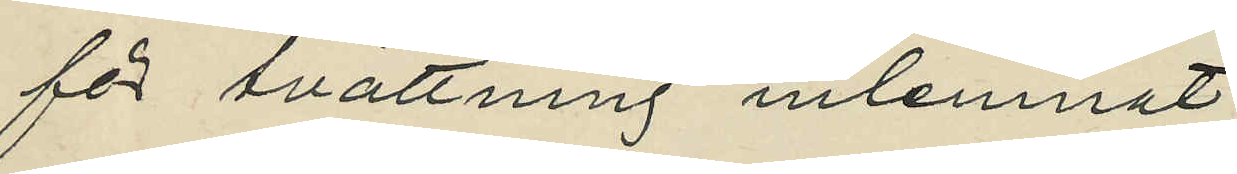för svättning inlemnat
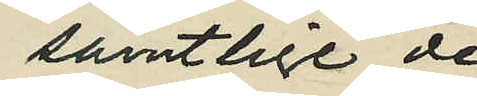samtlige de
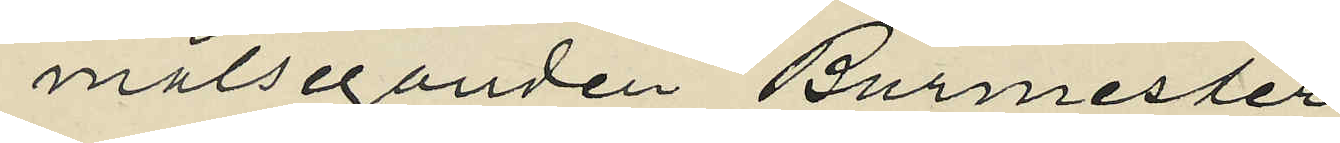målseganden Burmester
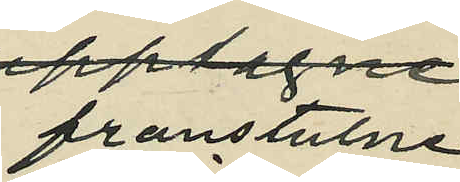franstulne
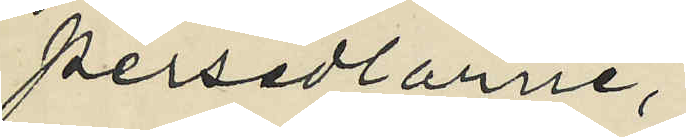persedlarne,
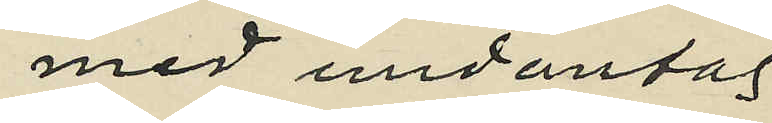med undantag
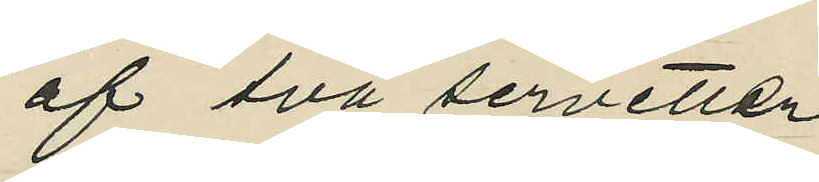af två servetter
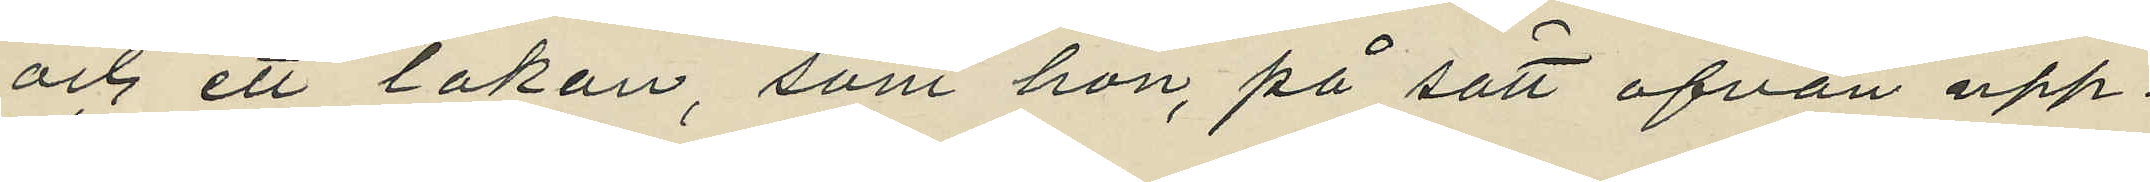och ett lakan, som hon, på sätt ofvan upp¬
